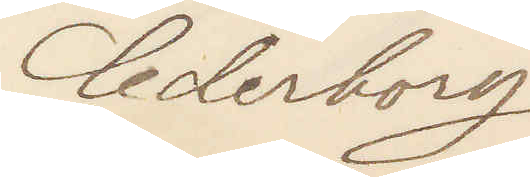Cederborg
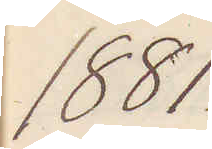1881
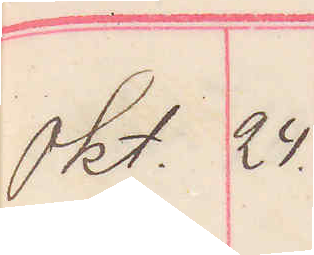Okt. 24.
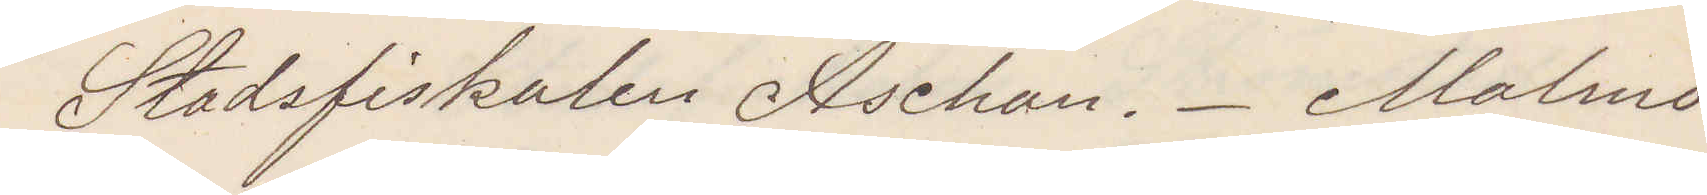Stadsfiskalen Aschan. Malmö.
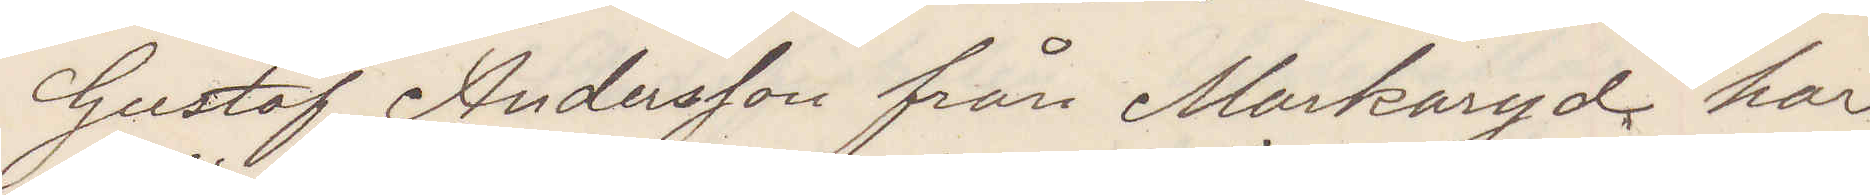Gustaf Andersson från Markaryd har
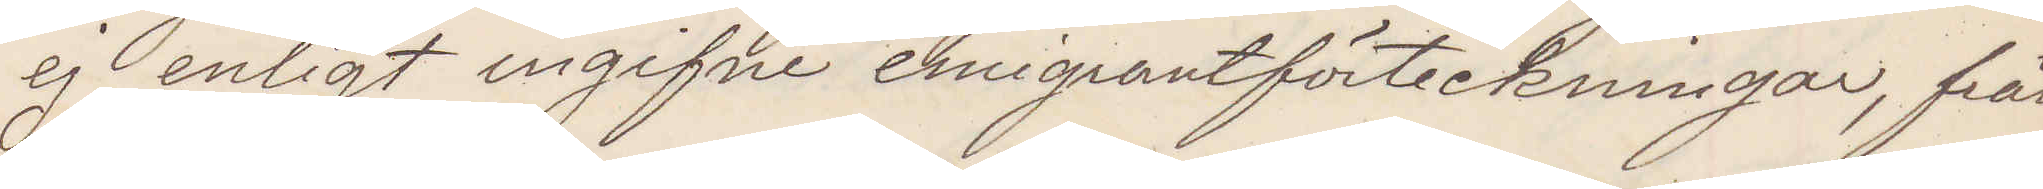ej enligt ingifne emigrantförteckningar, från
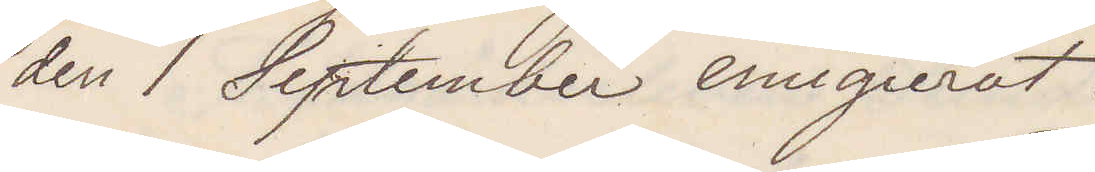den 1 September emigrerat.
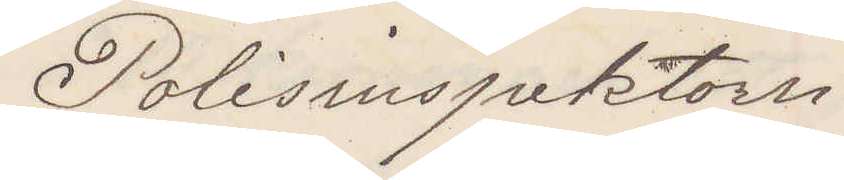Polisisnspektorn
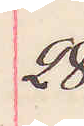28
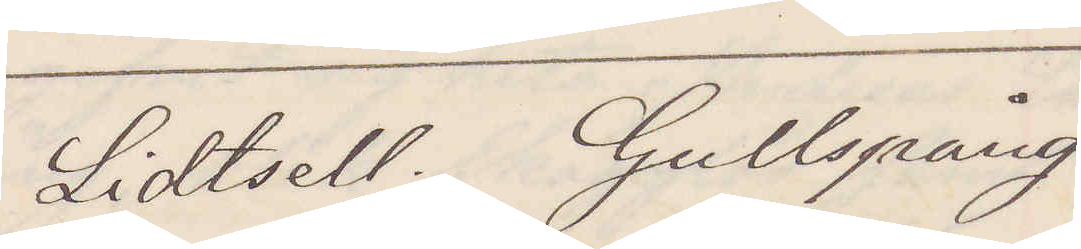Lidtsell. Gullspång
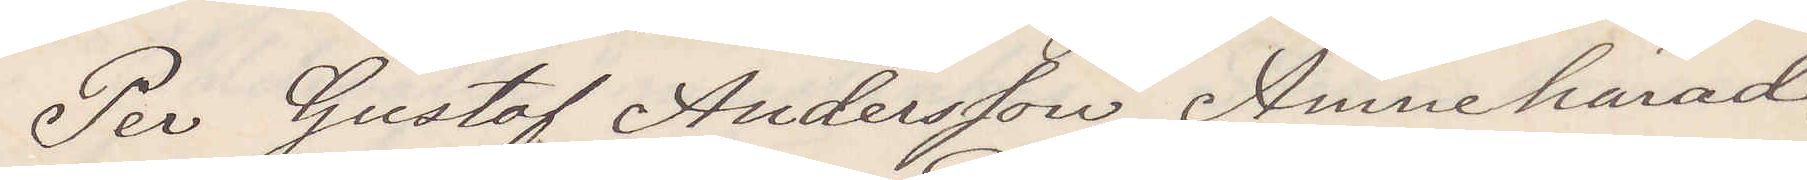Per Gustaf Andersson, Amnehärad,
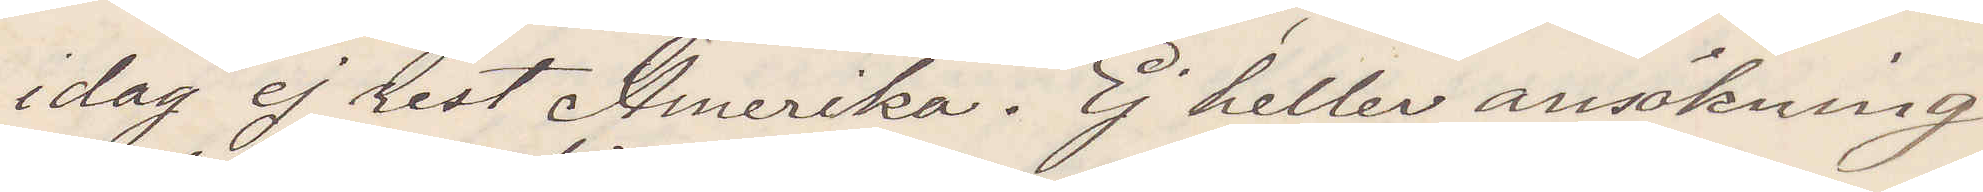idag ej rest Amerika. Ej heller ansökning
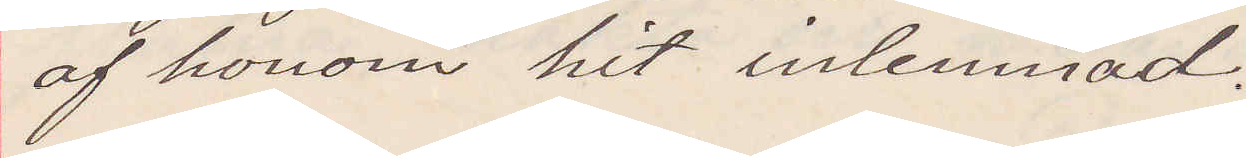af honom hit inlemnad.
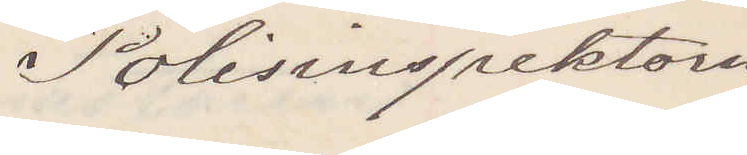Polisinspektorn
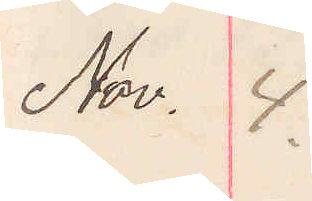Nov. 4.
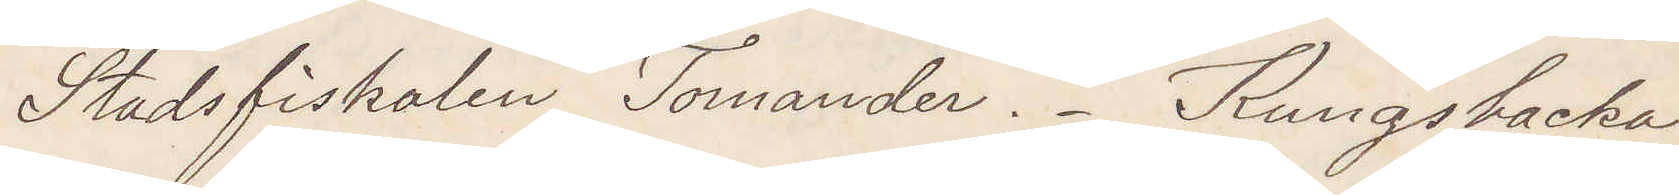Stadsfiskalen Tomander. Kungsbacka
